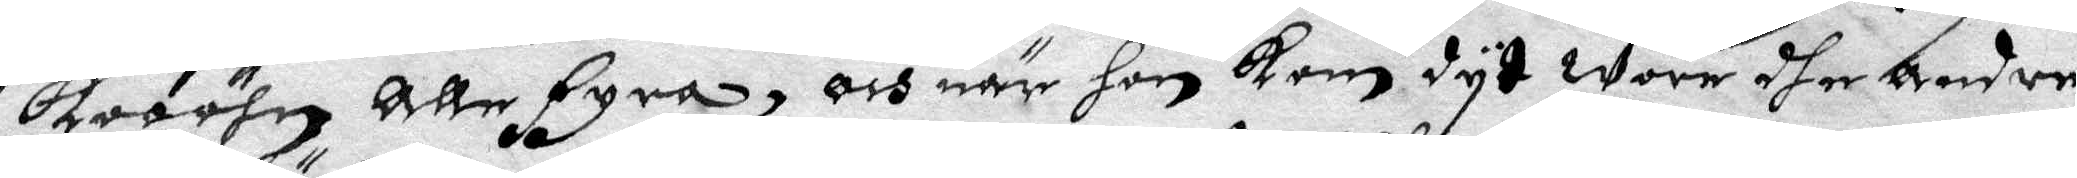Kooöhn alle fyra, och när hon kom dyt wore dher andre
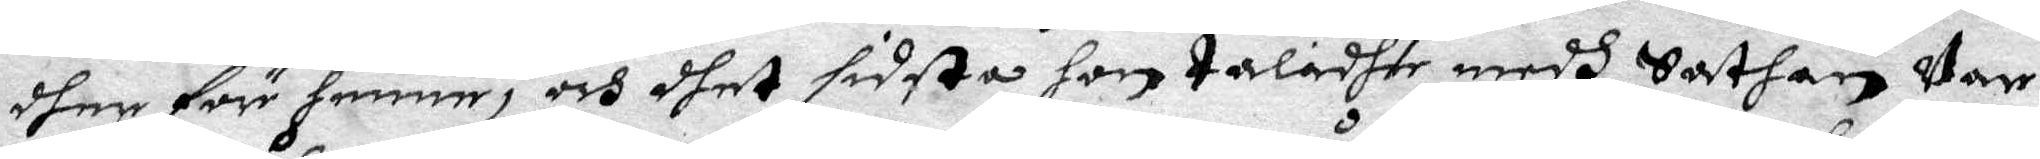dher före enne, och dhet sidsta hon taladhe medh Sathan Var
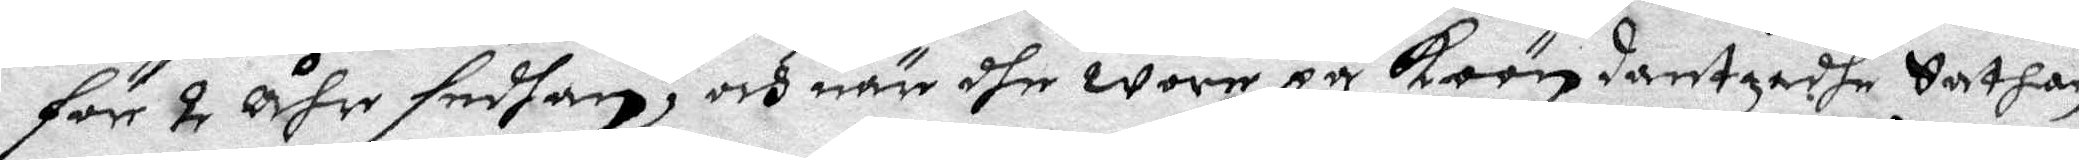för 2 åhr sedhan, och när dhe wore på Koön dantsadhe Sathan
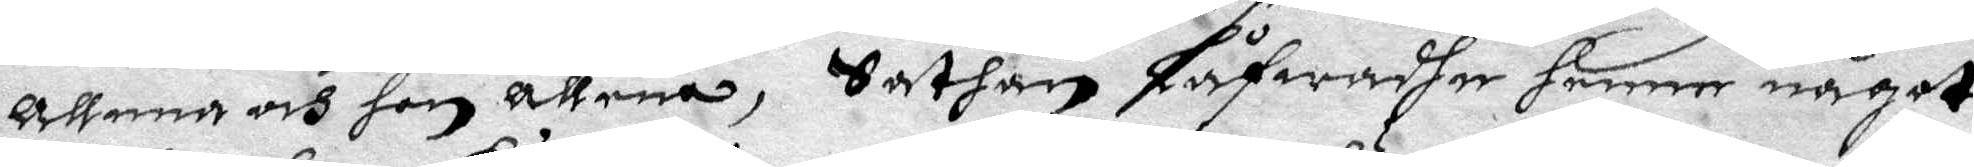allena och hon allena, Sathan Låfwadhe henne något
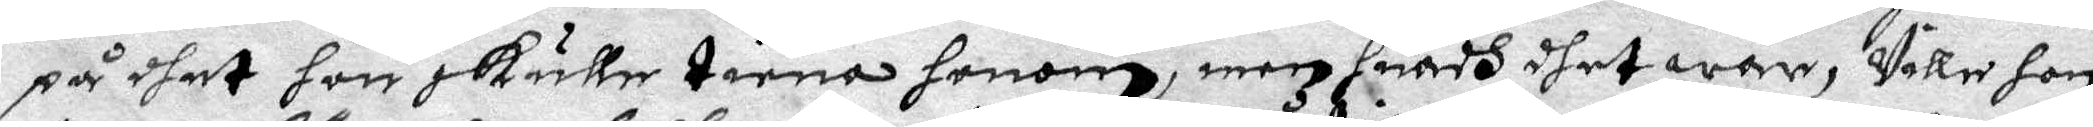på dhet hon skulle tiena honom, men huadh dhet war, Ville hon
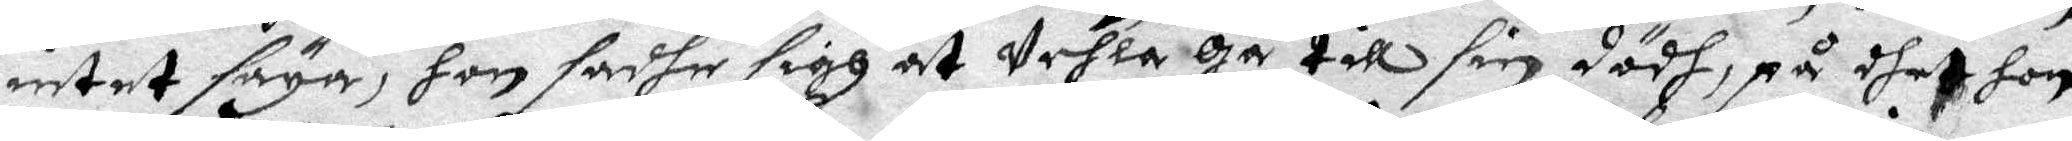intet säga, hon sadhe sigh at Vehla Gå till sin dödh, på dhet hon
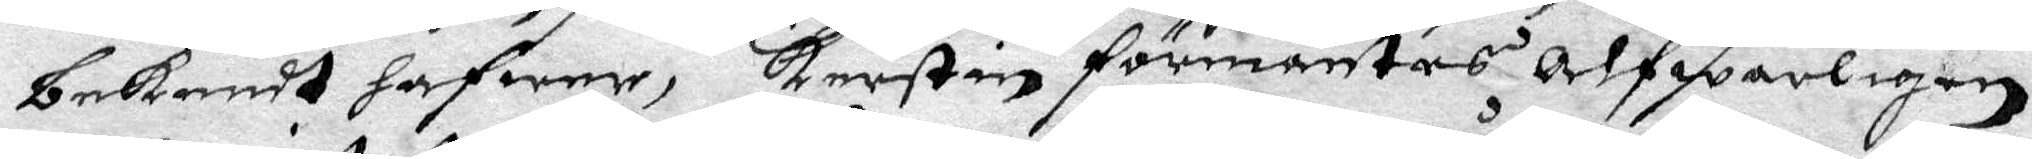bekendt hafwer, Kerstin förmantes alfwarligen,
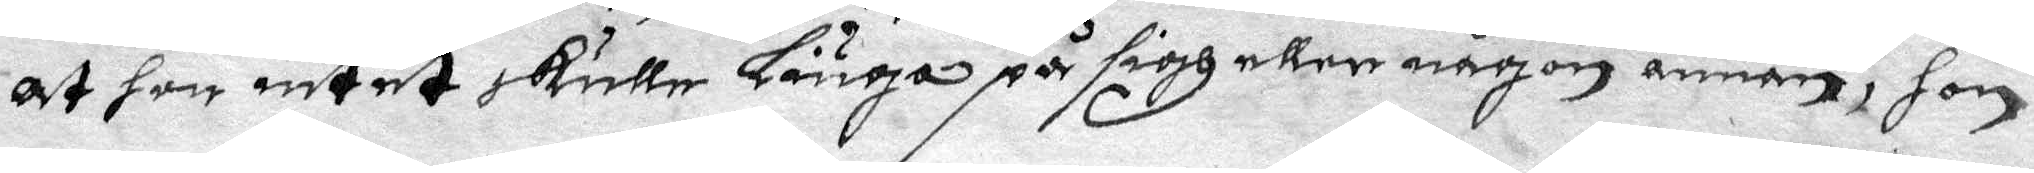at hon intet skule liuga på sigh eller någon annan, hon
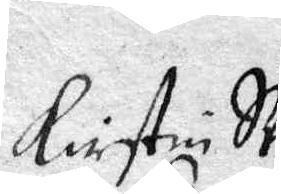Kirstin SVen
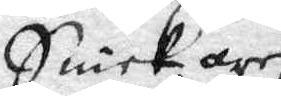Snickares
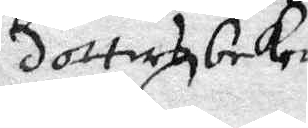dotters beke¬
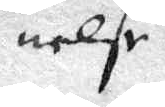nelse.
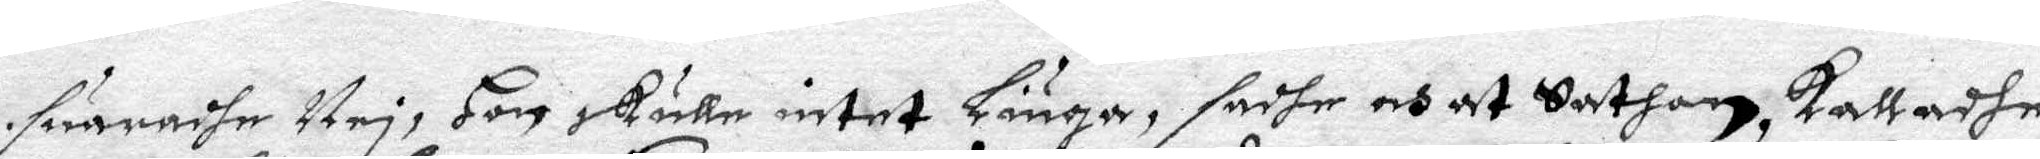suaradhe Nej, Hon skulle intet Liuga, adhe och at Sathan kalladhe
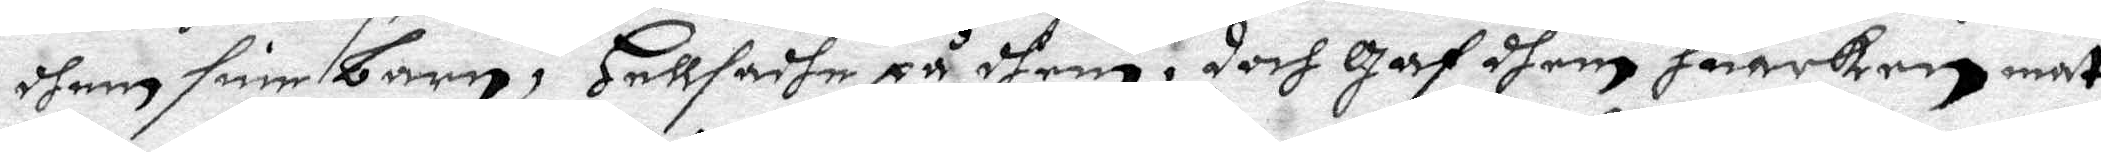dhem sine barn, Hellsadhe på dhem, doch Gaf dhem huarken mat
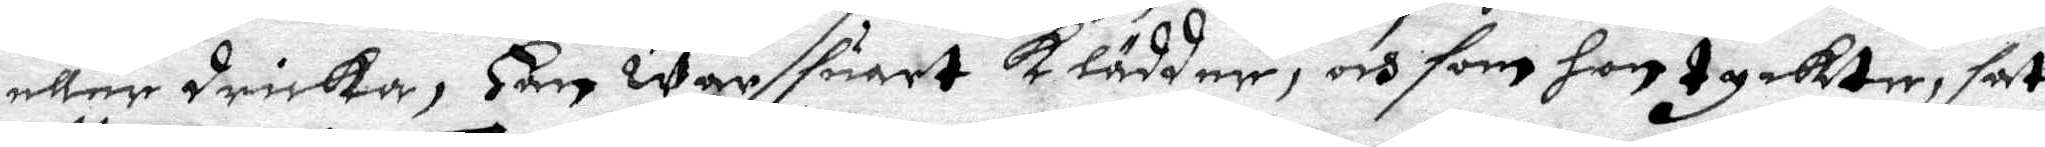eller dricka, Han war suart klädder, och som hon tyckte, sat
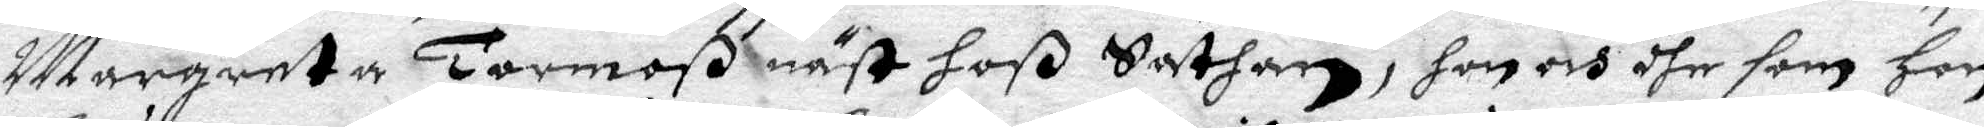Margareta Tormoß näst hoß Sathan, hon och dhe som hon
